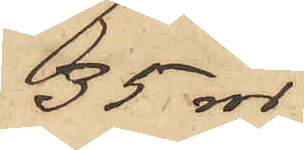35 rdr
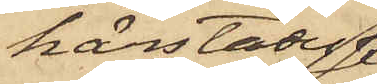härstädes
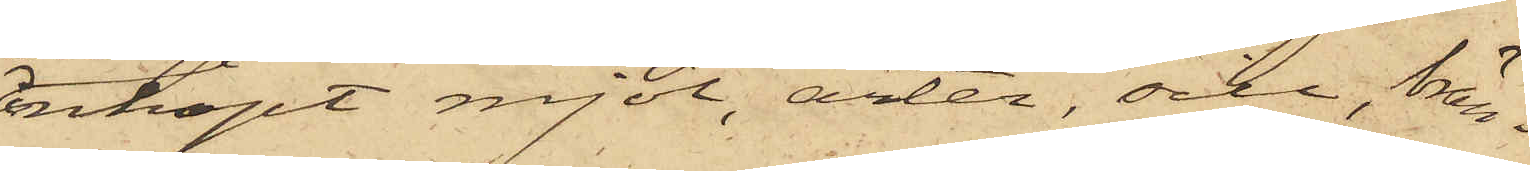inköpt mjöl, ärter, sill, brän¬
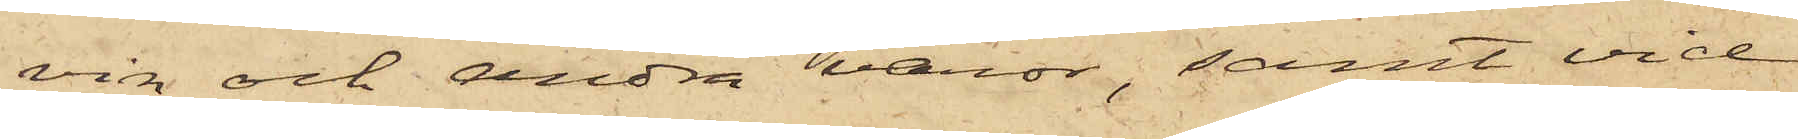vin och andra varor, samt vid
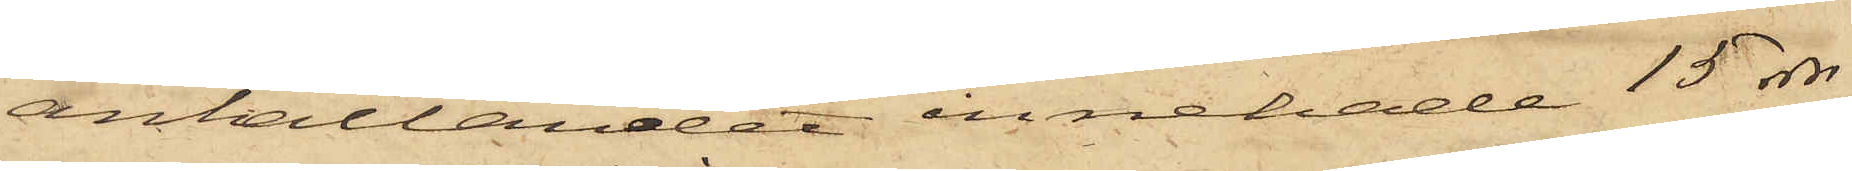anhållandet innehade 15 rdr
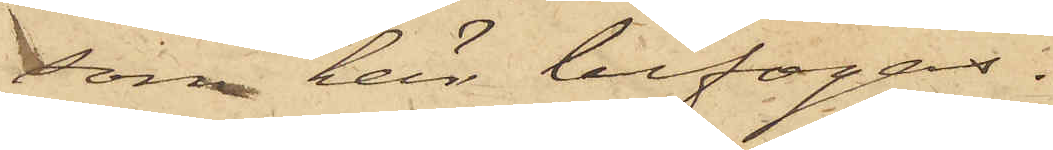som här bifogas.
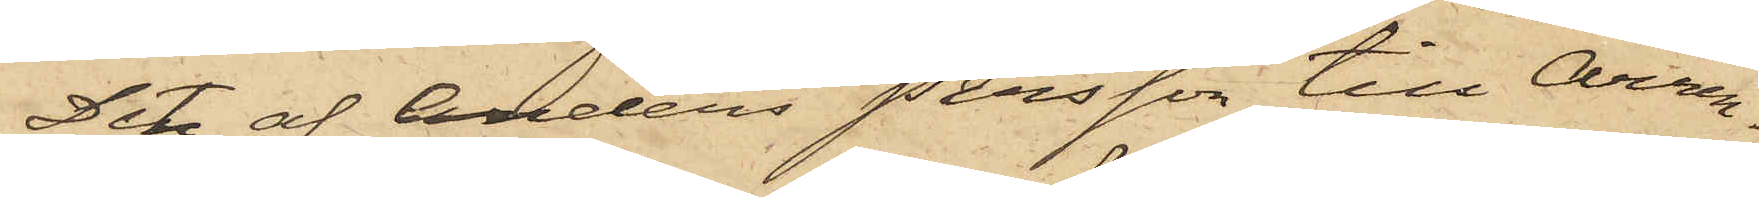Det af Anders Persson till Arren¬
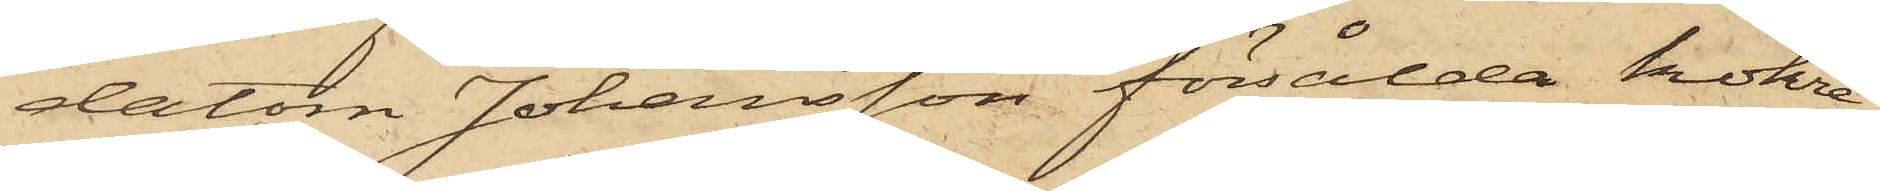datorn Johansson försålda kokre¬
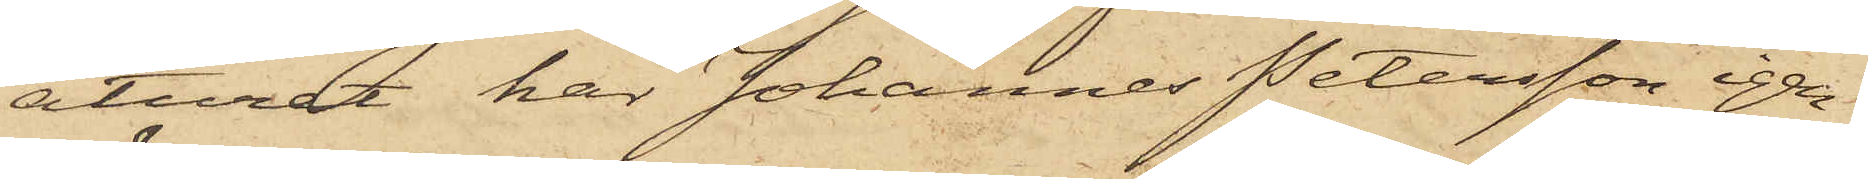aturet har Johannes Petersson igen¬
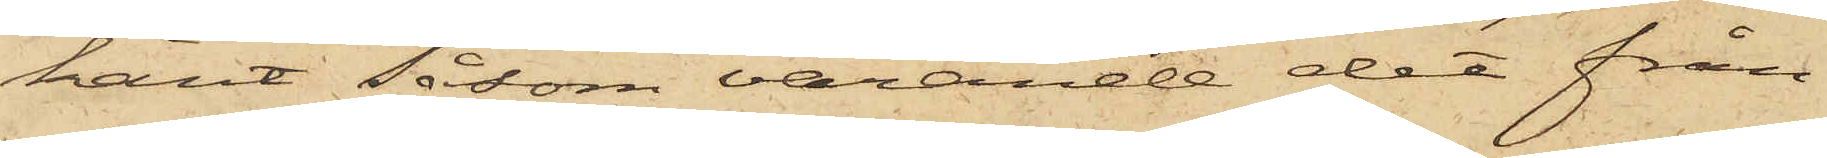känt såsom varande det från
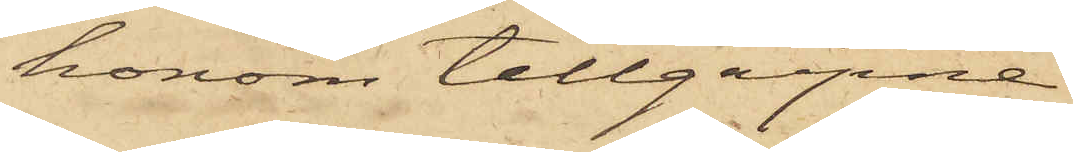honom tillgripne
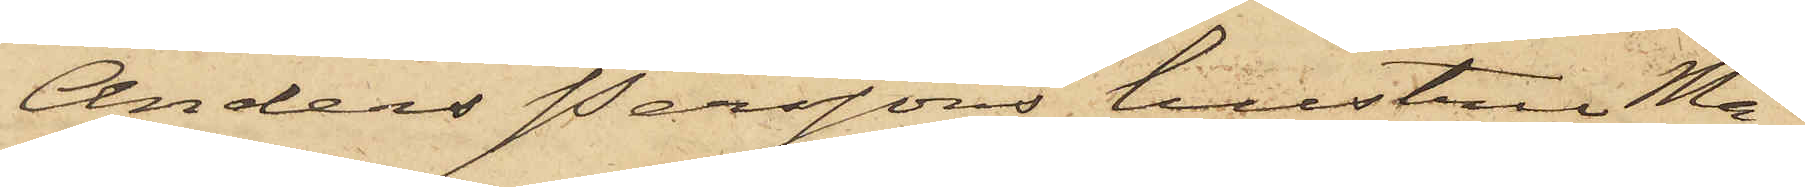Anders Perssons hustru Ma¬
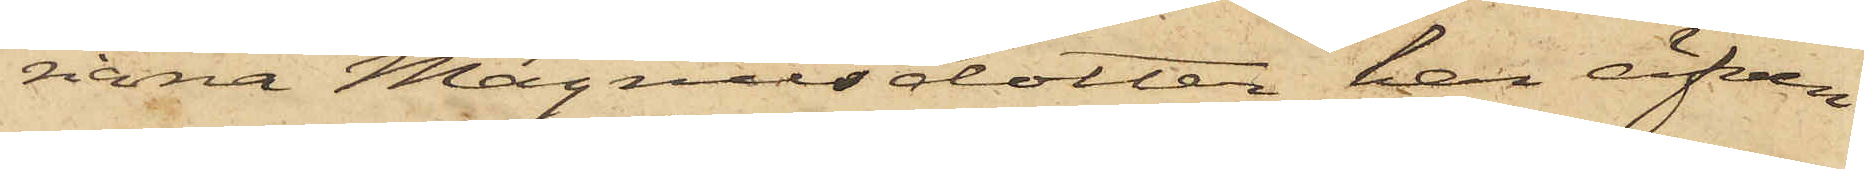riana Magnusdotter har äfven
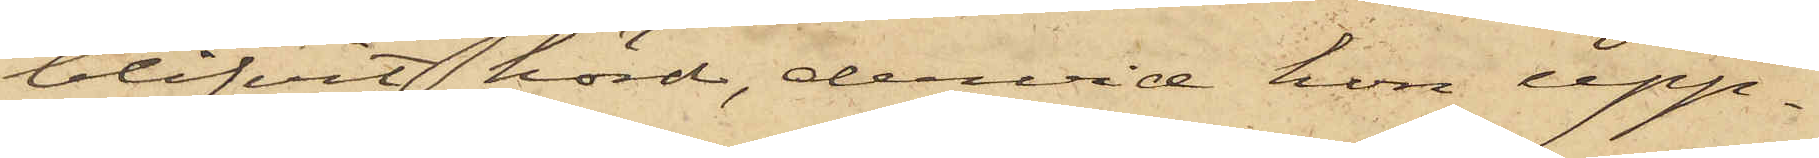blifvit hörd, dervid hon upp¬
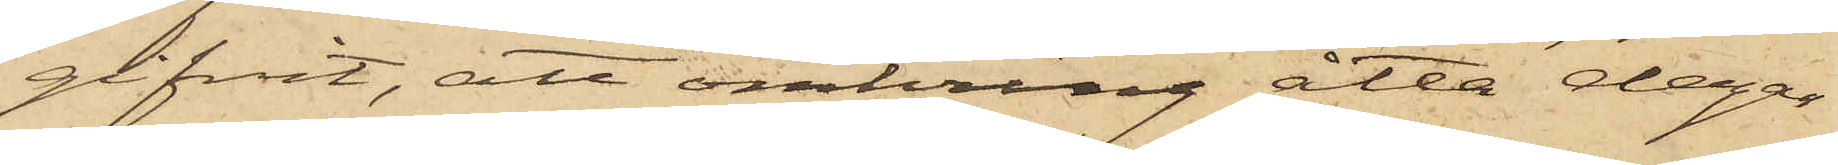gifvit, att omkring åtta dagar
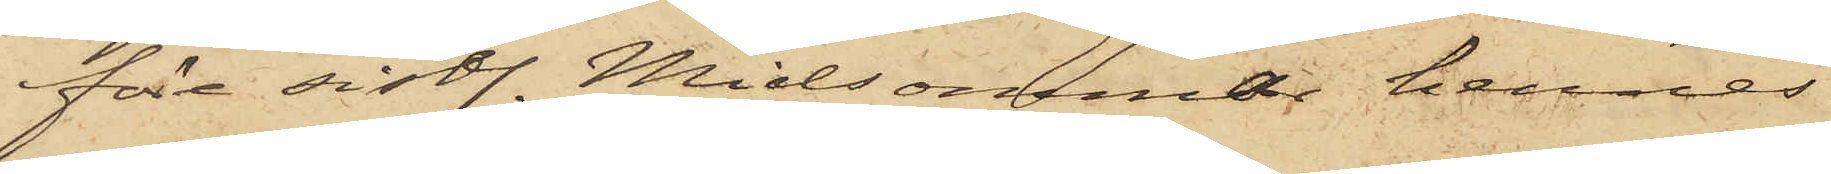före sistl. Midsommar hennes
